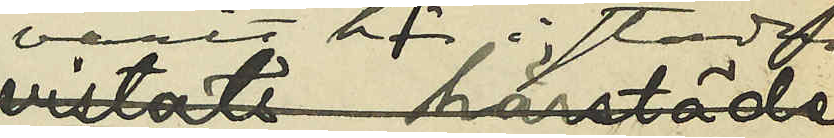varit här i staden,
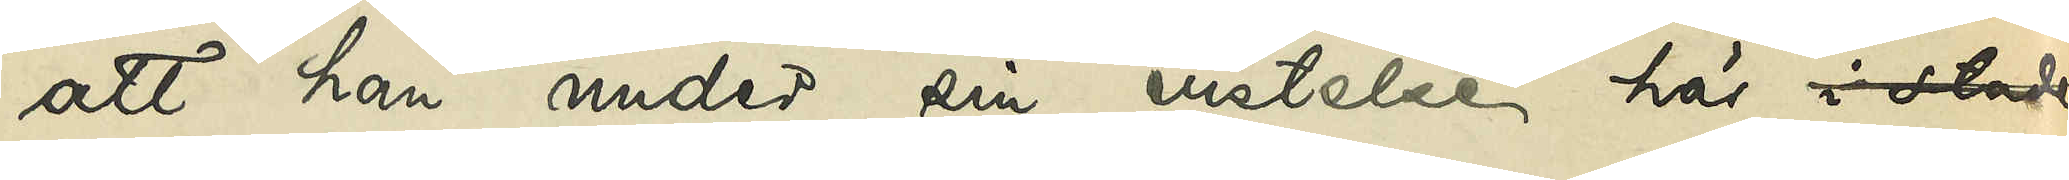att han under sin vistelse här i staden
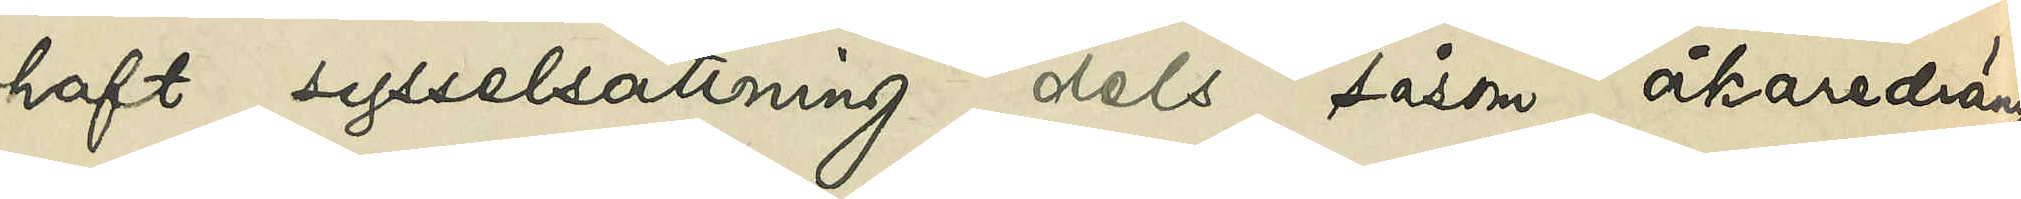haft sysselsättning dels såsom åkaredräng
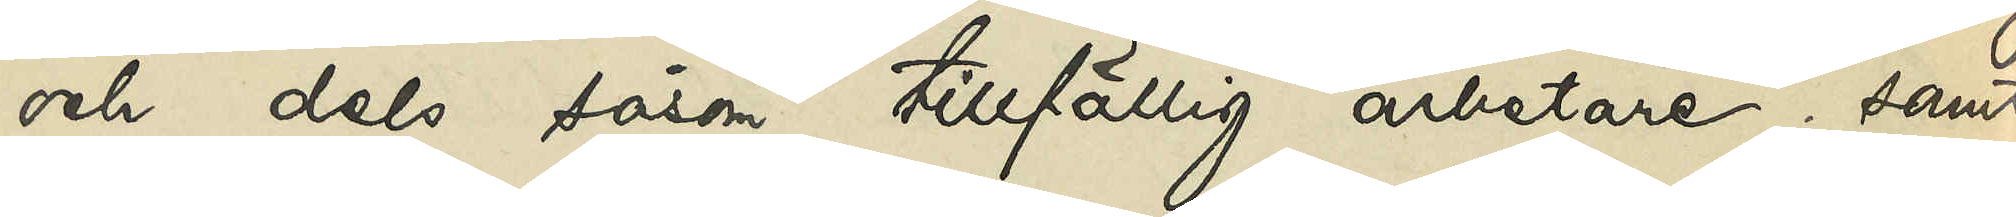och dels såsom tillfällig arbetare; samt
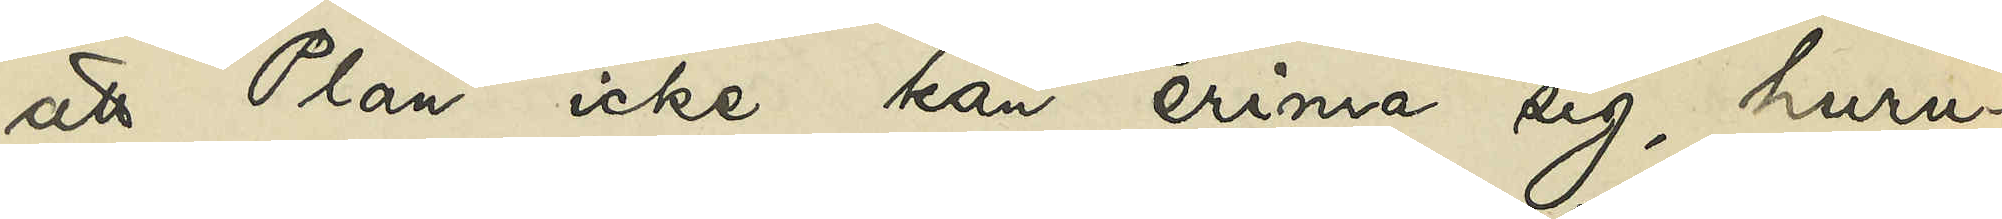att Plan icke kan erinra sig, huru¬
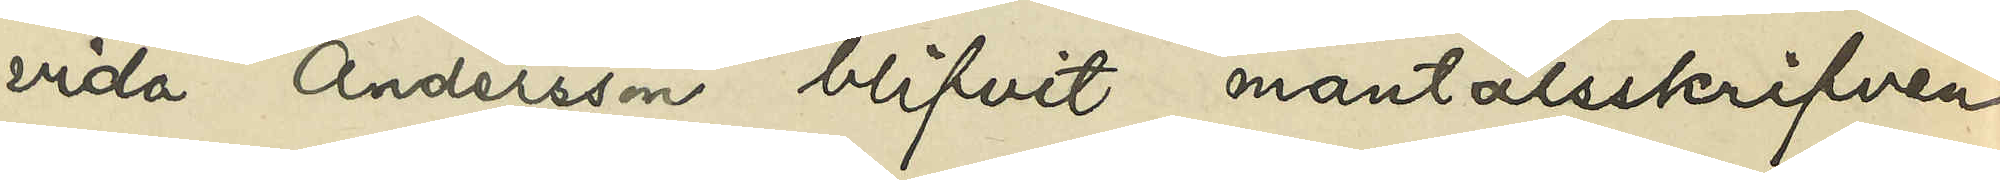vida Andersson blifvit mantalsskrifven
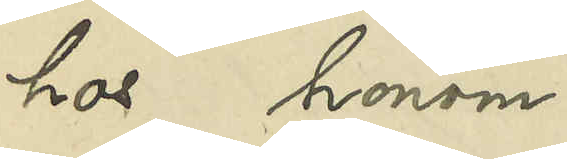hos honom.
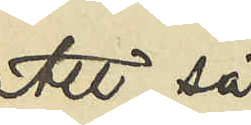Att så 
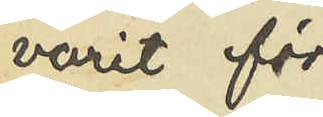varit för¬
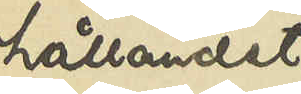hållandet
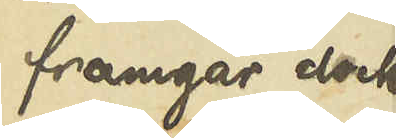framgår dock
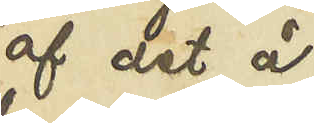af det å
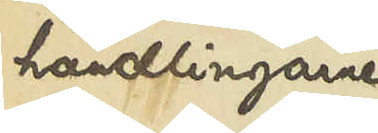handlingarne
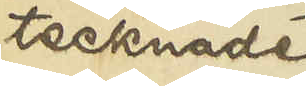tecknade
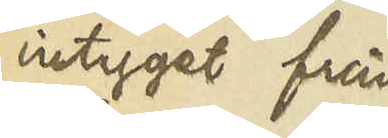intyget från
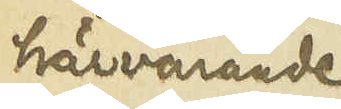härvarande
